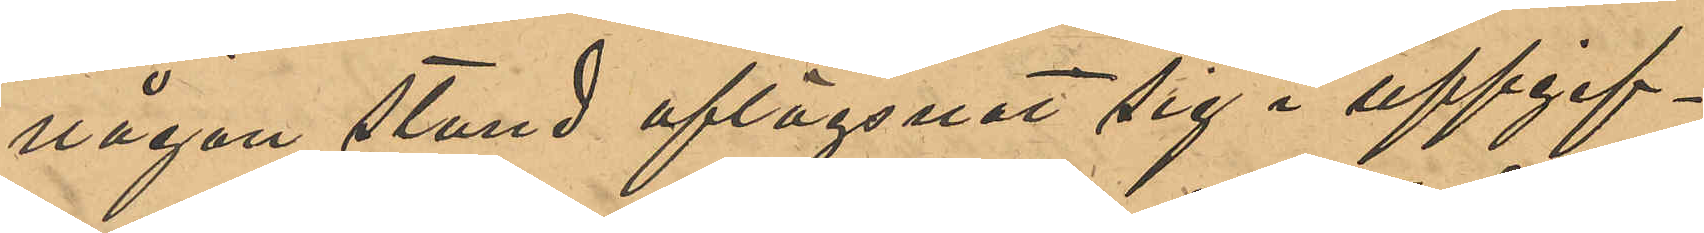någon stund aflägsnat sig i uppgif¬
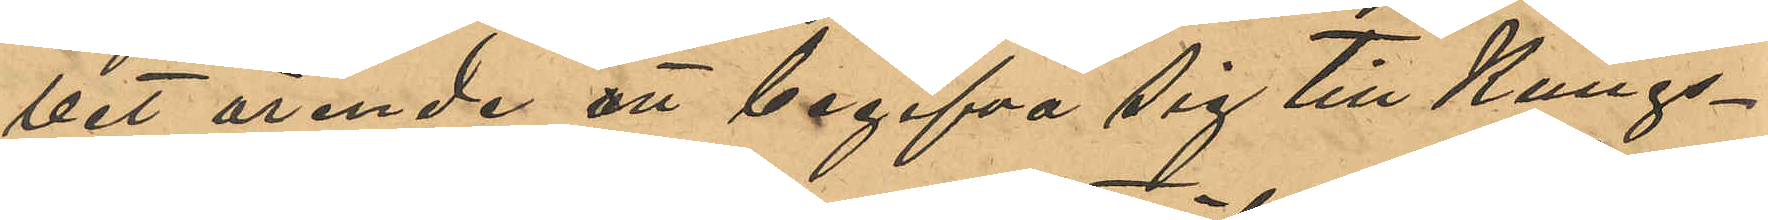vet ärende att begifva sig till Kungs¬
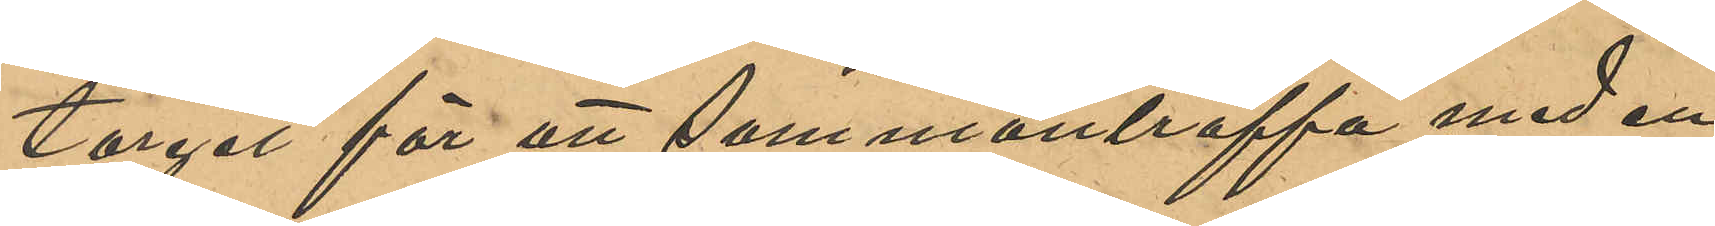torget för att sammanträffa med en
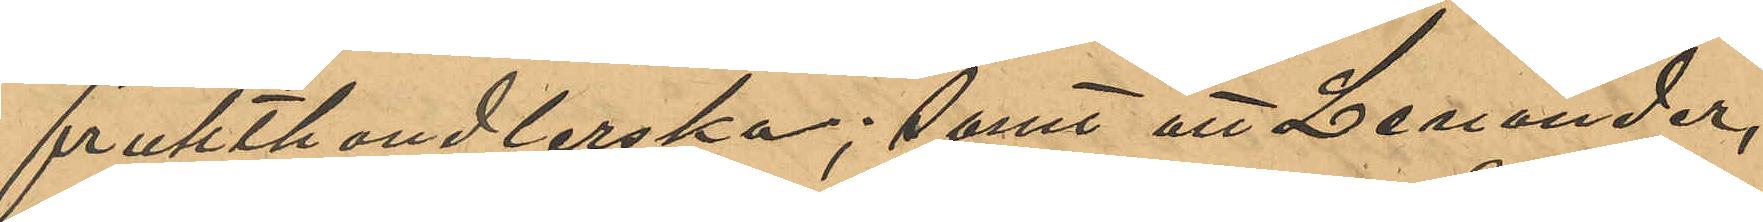frukthandlerska; samt att Lenander,
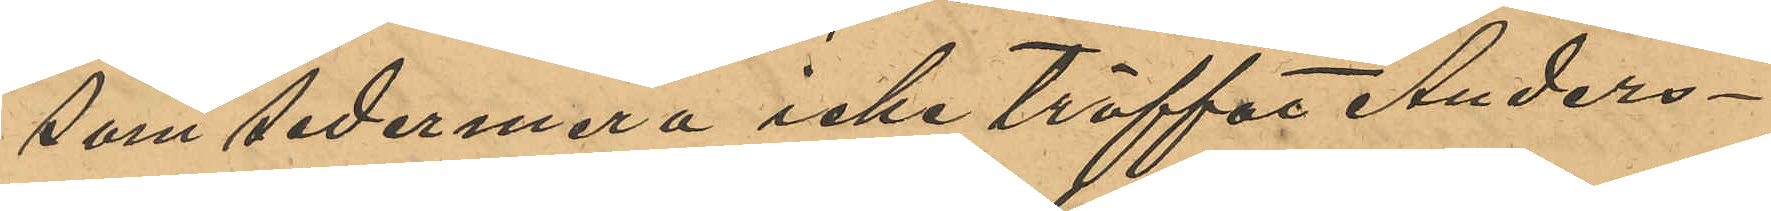som sedermera icke träffat Anders¬
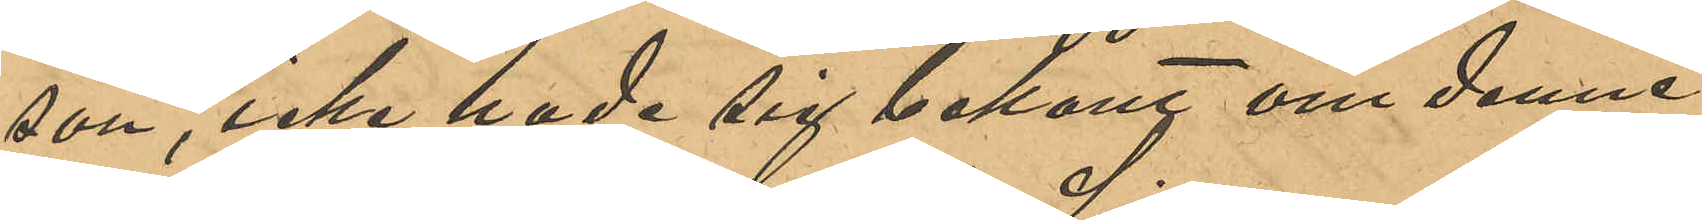son, icke hade sig bekant om denne
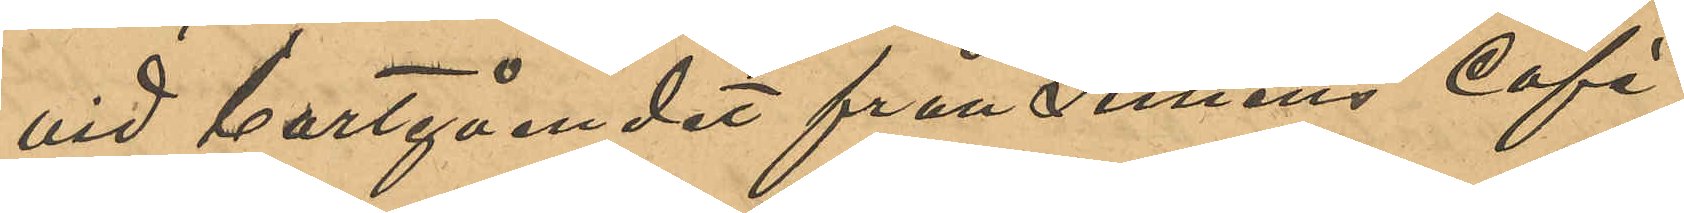vid bortgåendet från Simens Café
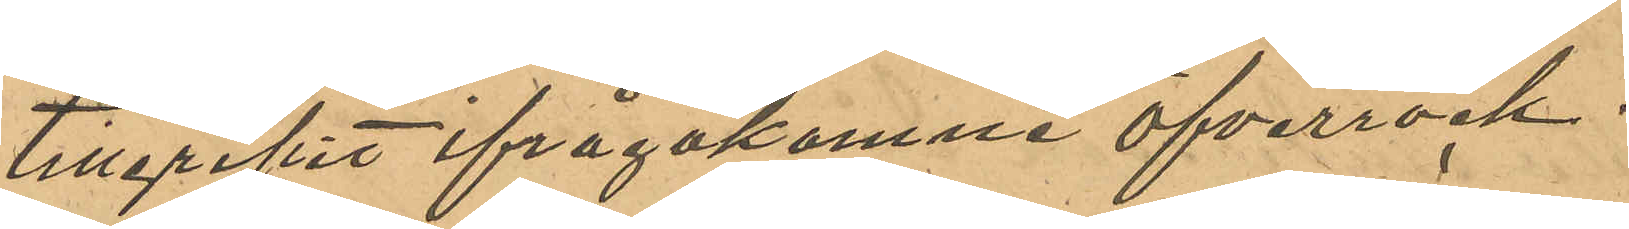tillgripit ifrågakomne öfverrock.
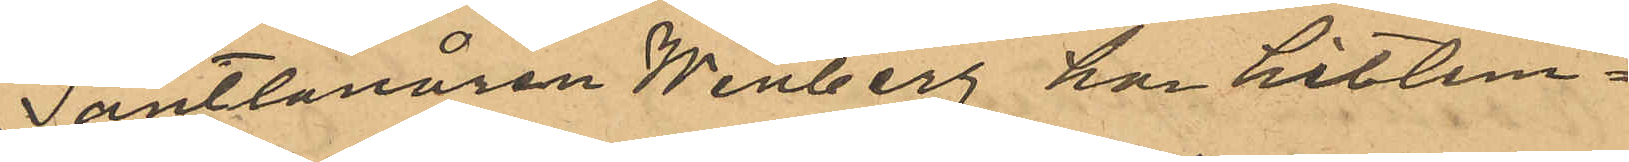Pantlånaren Winberg har hitlem¬
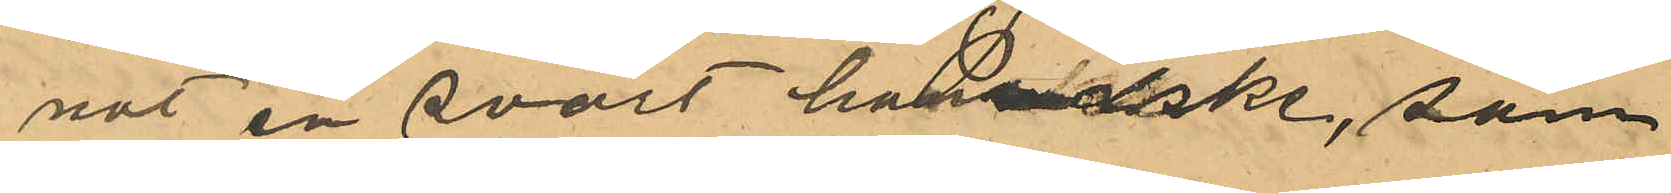nat en svart handske, som
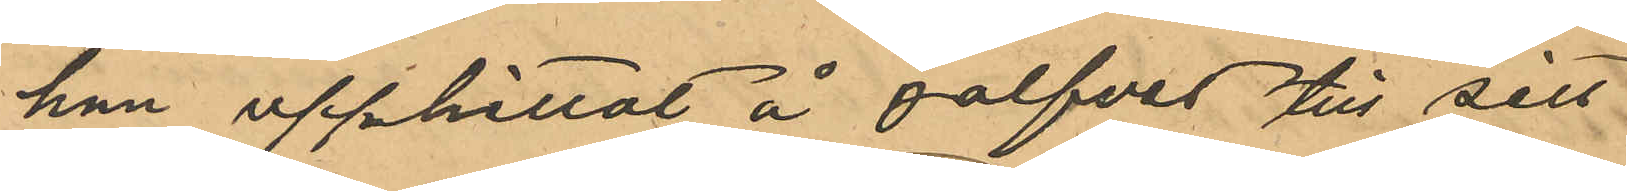han upphittat å golvet till sitt
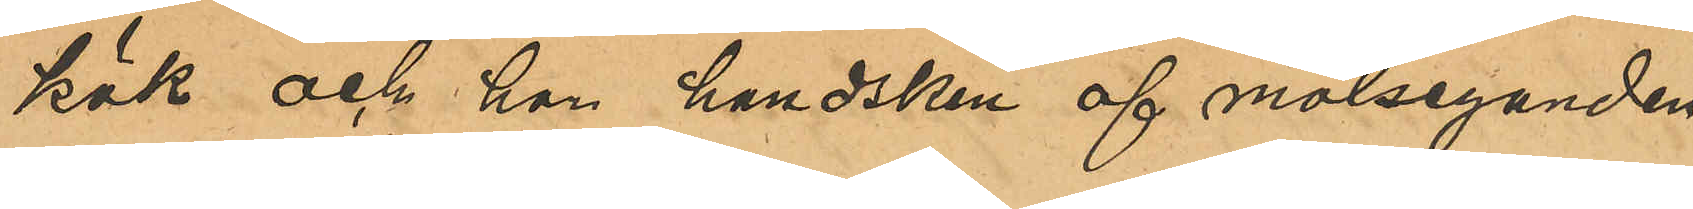kök och har handsken af målseganden
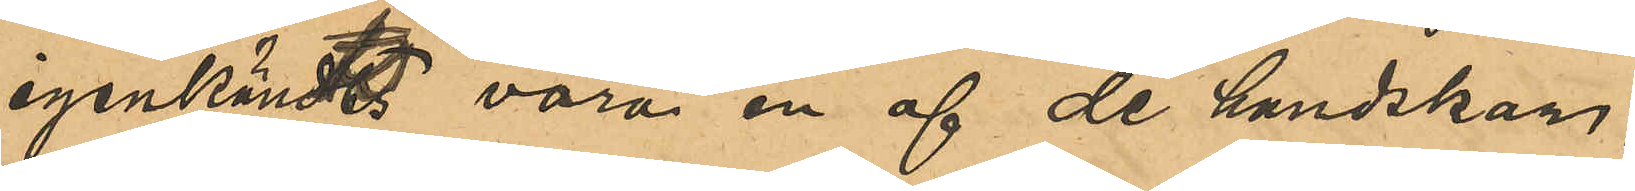igenkändts vara en af de handskar,
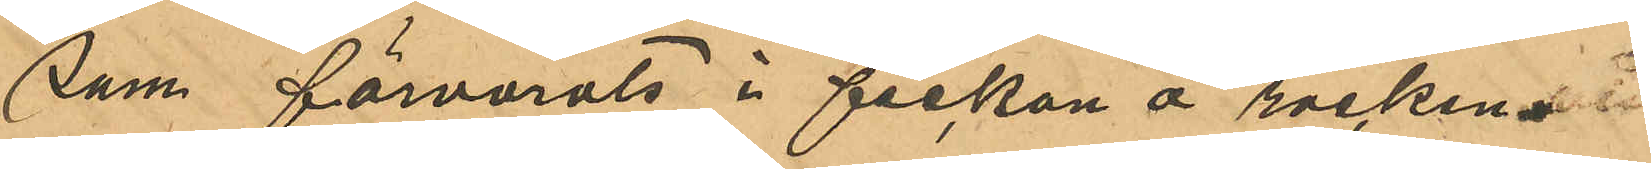som förvarats i fickan å rocken.
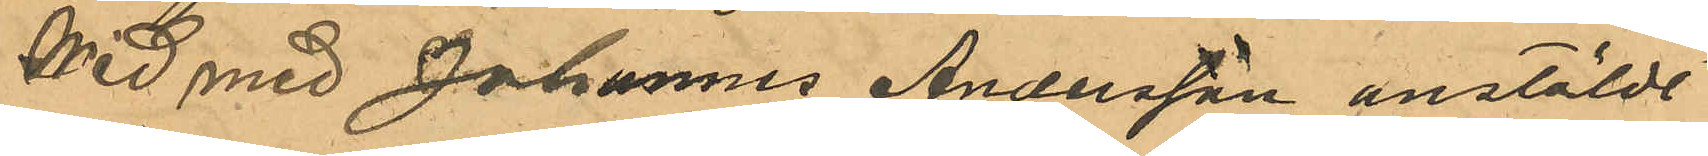Wid med Johannes Andersson anstäldt
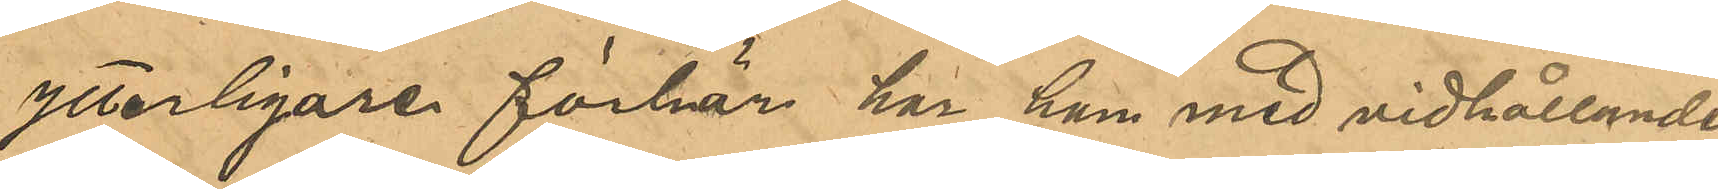ytterligare förhör har han med vidhållande
